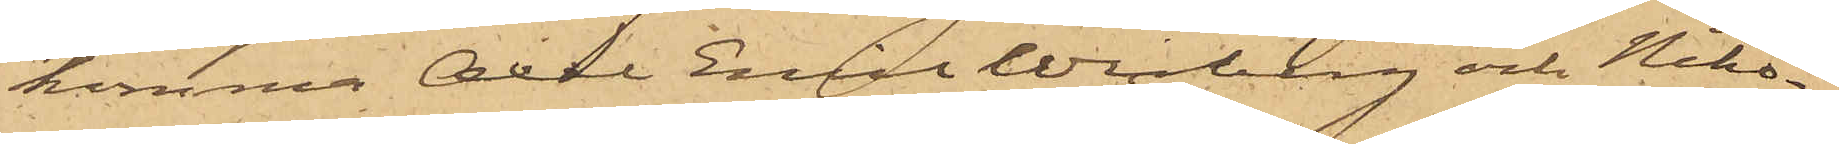komma Axel Emil Winberg och Niko¬
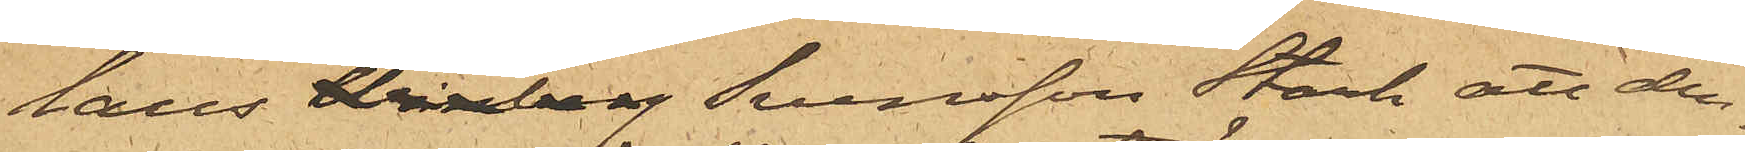laus Winberg Svensson Stark att den¬
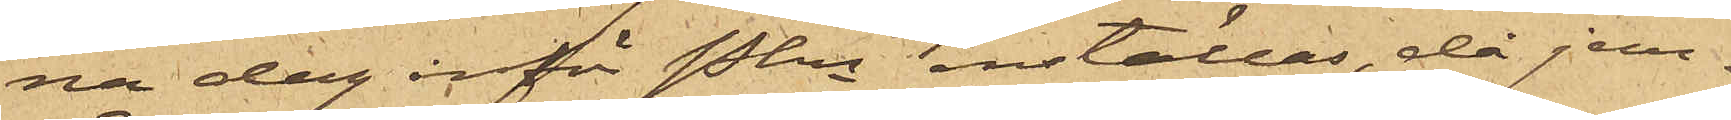na dag inför Pkn inställas, då jem¬
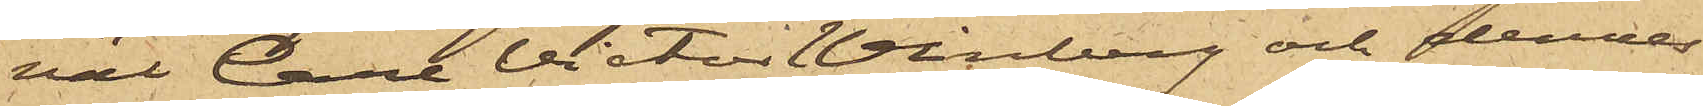väl Carl Victor Winberg och dennes
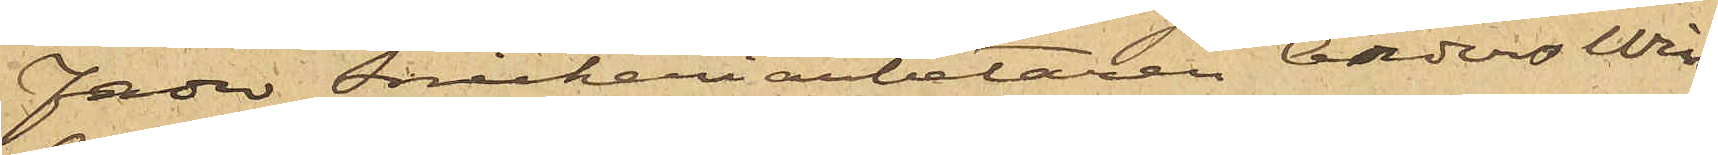fader Snickeriarbetaren Anders Win¬
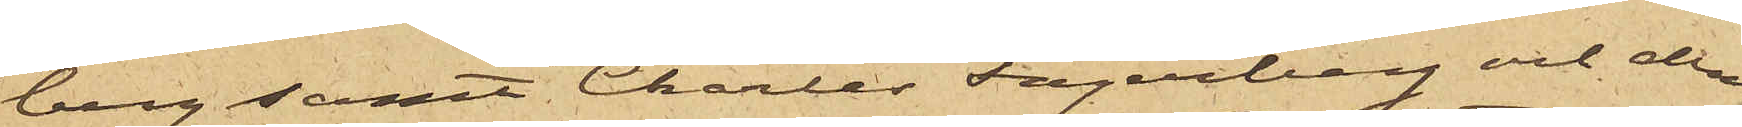berg samt Charles Fagerberg och den¬
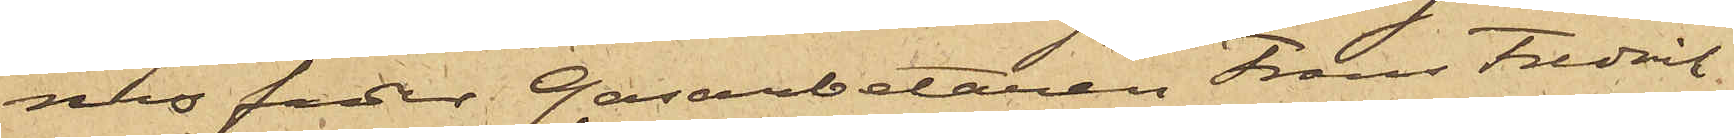nes fader Gasarbetaren Frans Fredrik
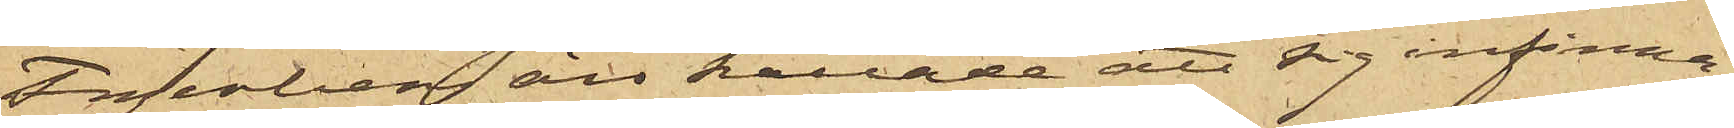Fagerberg äro kallade att sig infinna
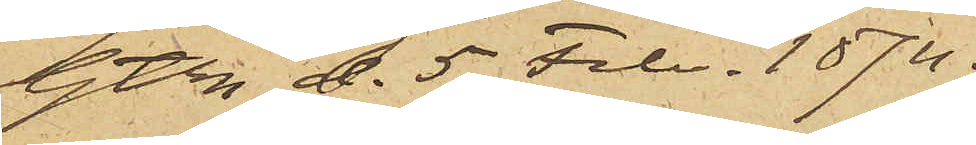Gtb d. 5 Febr. 1874.
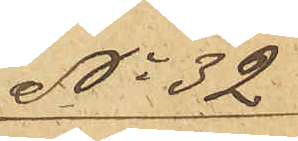No 32
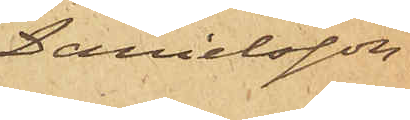Danielsson
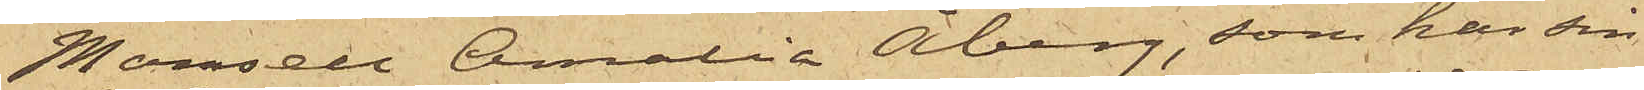Mamsell Amalia Åberg, som har sin
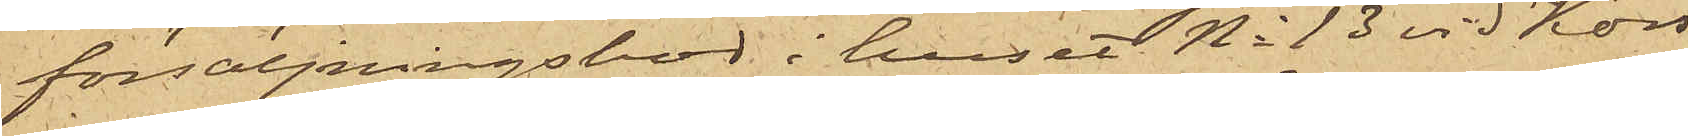försäljningsbod i huset No 13 vid Kors¬
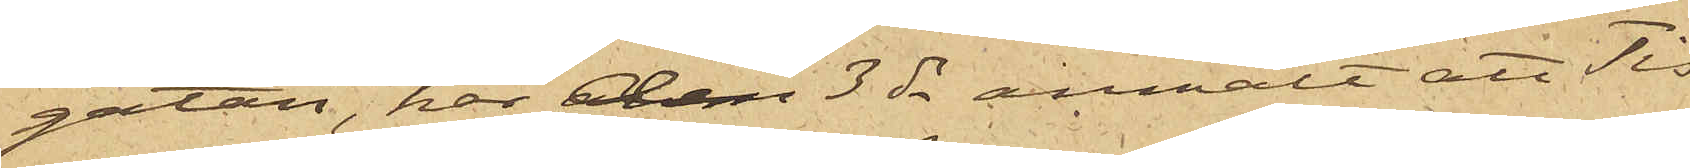gatan, har den 3 ds anmält att Tis¬
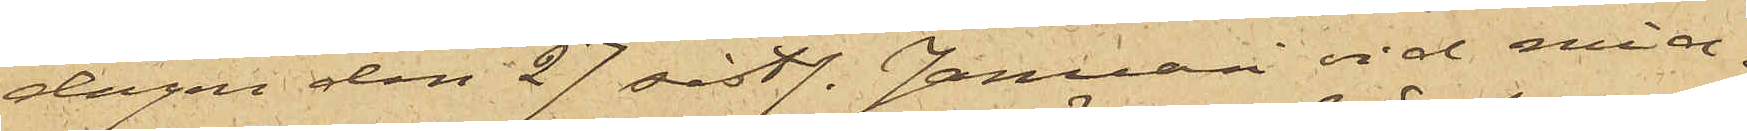dagen den 27 sist. Januari vid mid¬
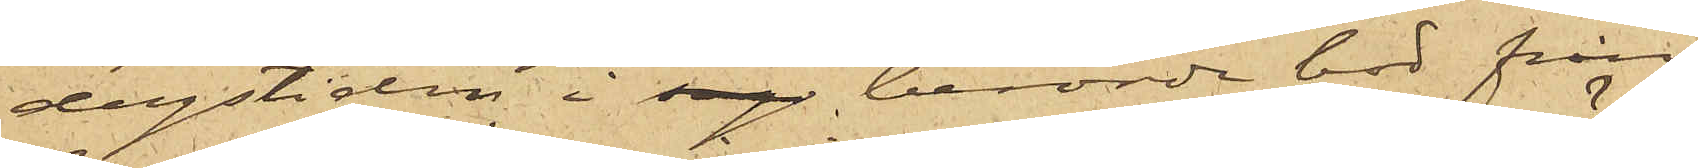dagstiden i sag berörde bod från
